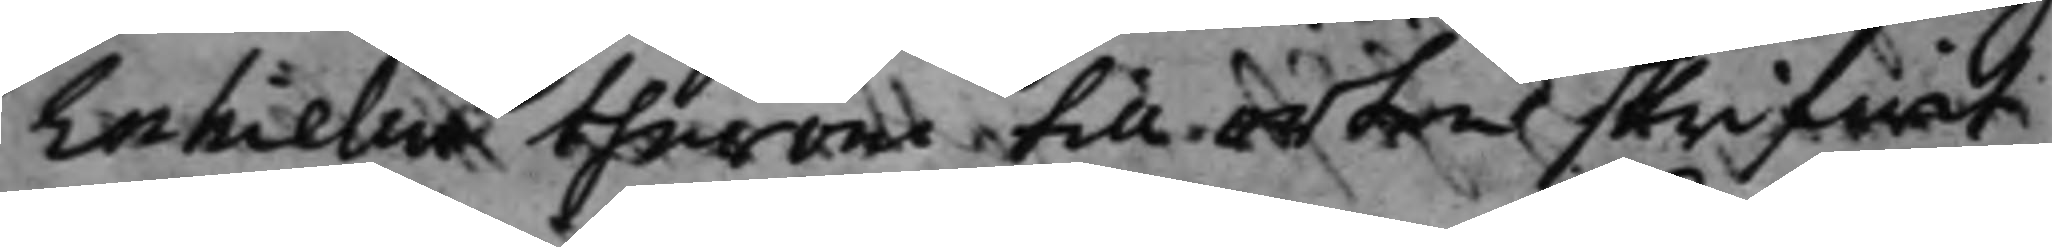Enhielm härom till orten skrifwit
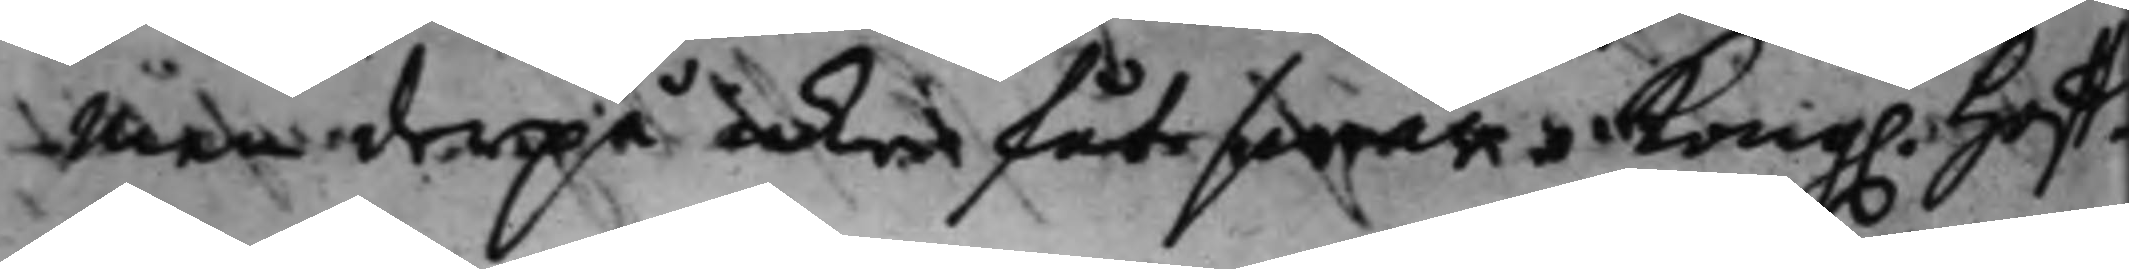Men derpå icke fåt swar. Kong. Hoff¬
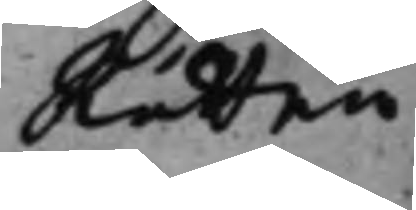Rätten
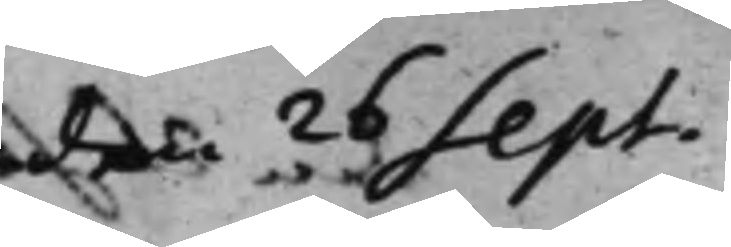den 26 Sept.
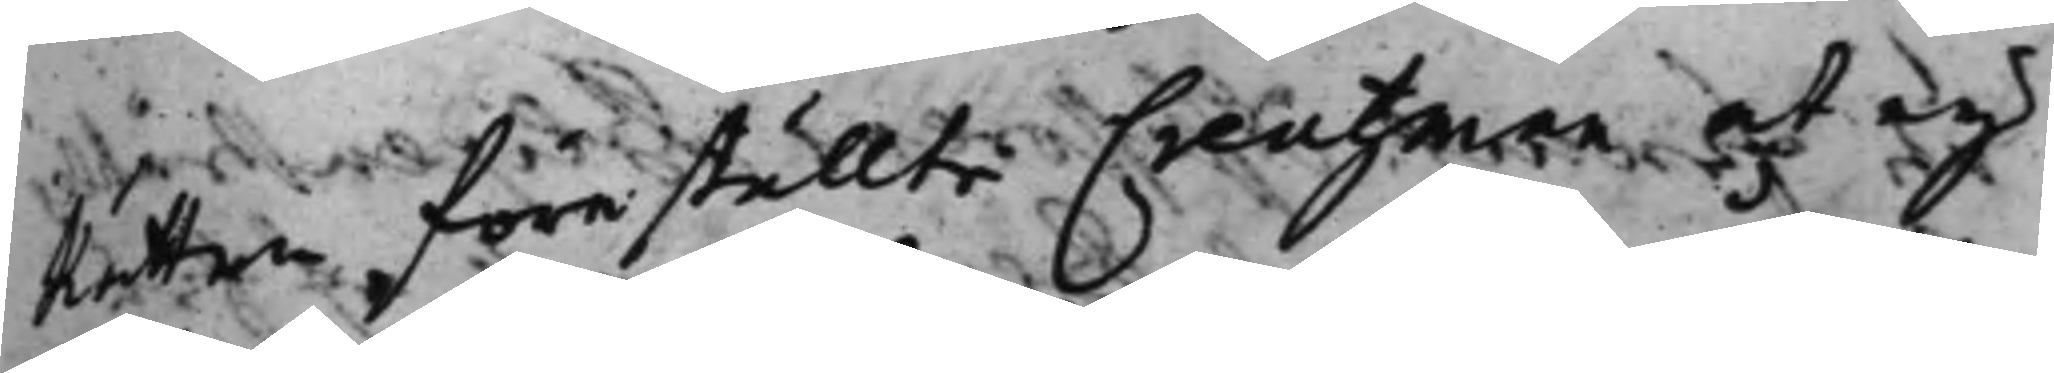Rätten föreställte Creutzman, at eij
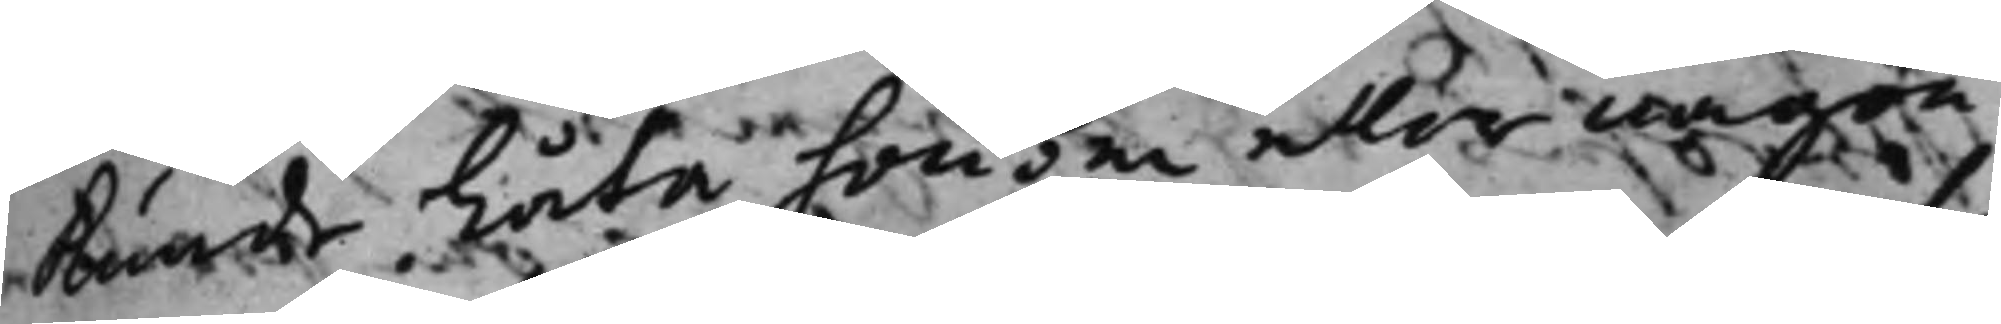kunde Låta honom eller någon
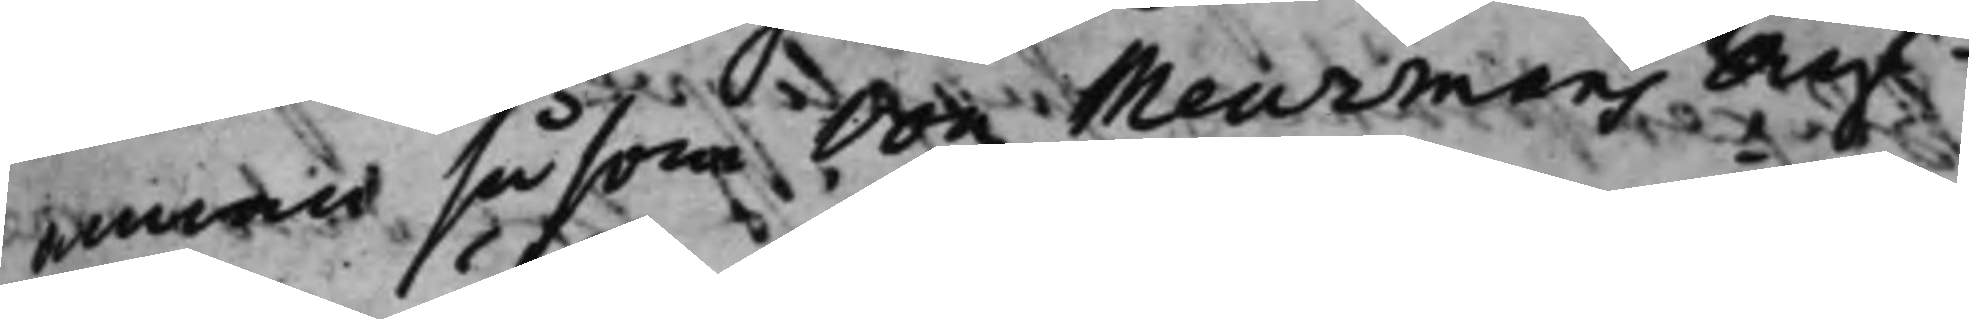annan såsom von Meurmans Arf¬
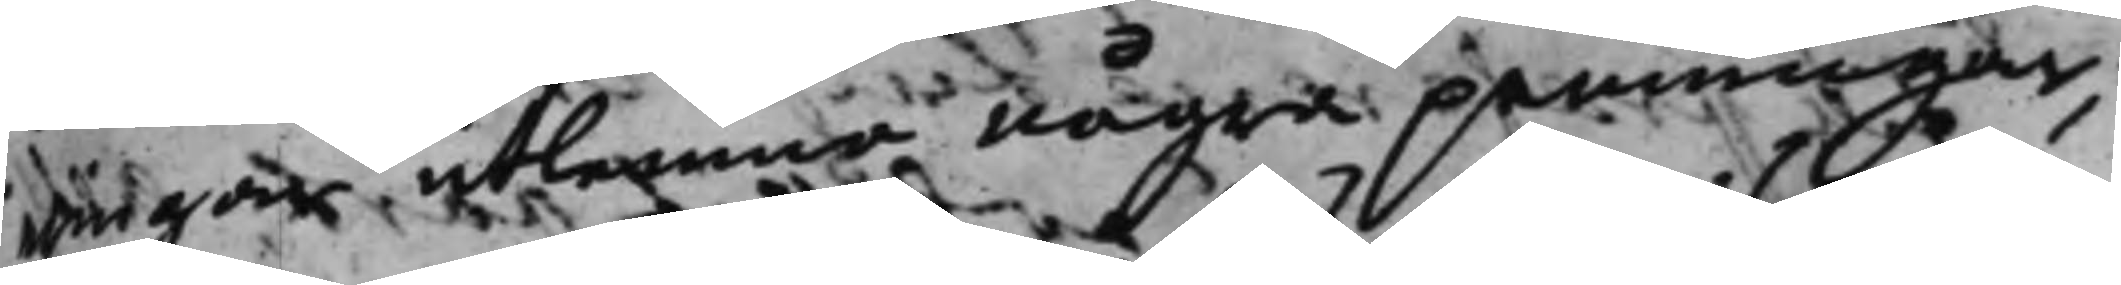wingar utlämna några penningar,
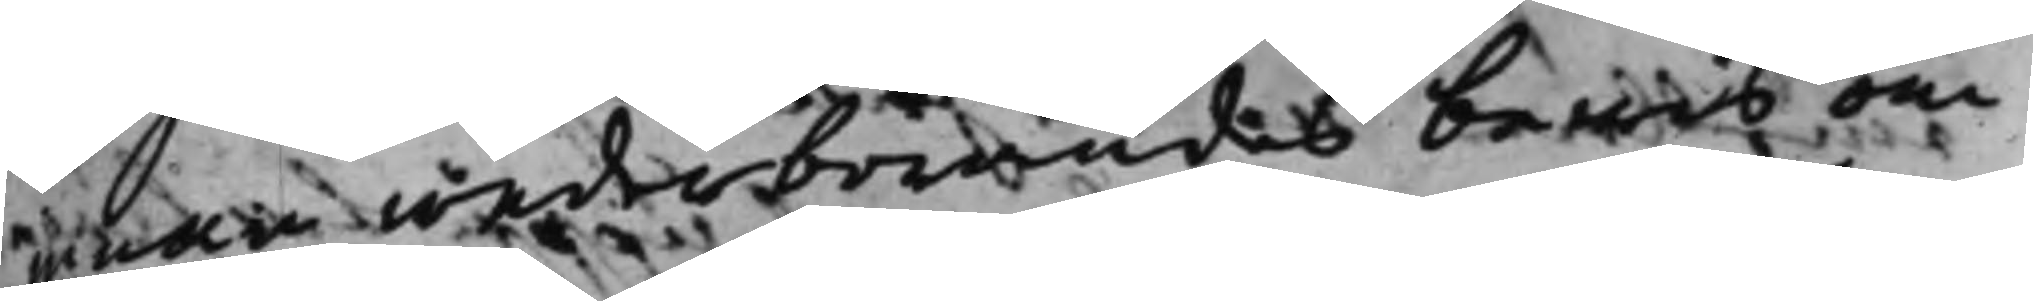innan wederbörandes bewis om
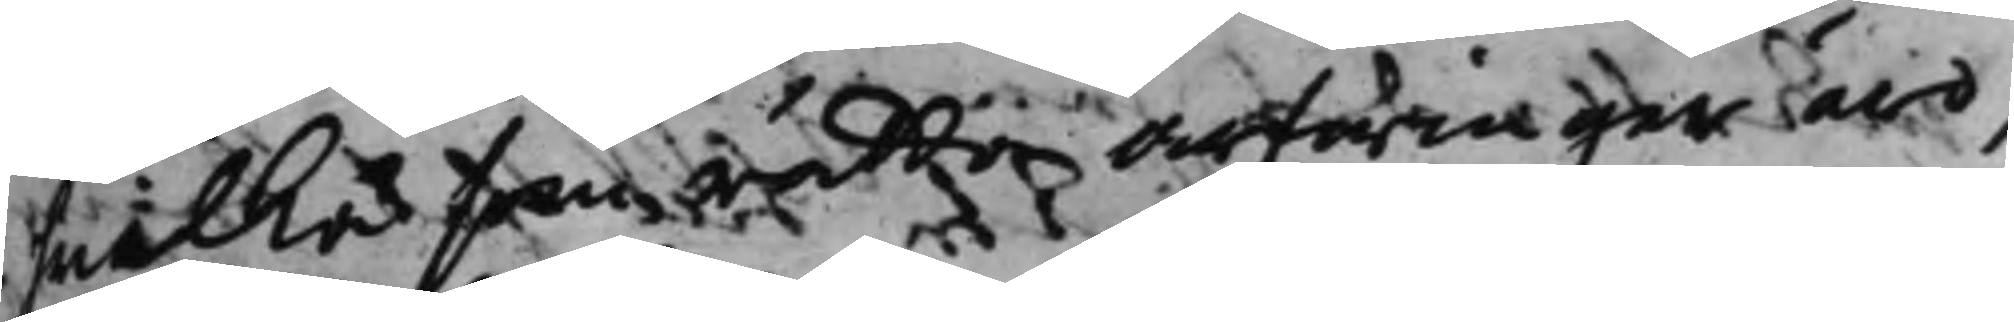hwilka som rätta arfwingar äro,
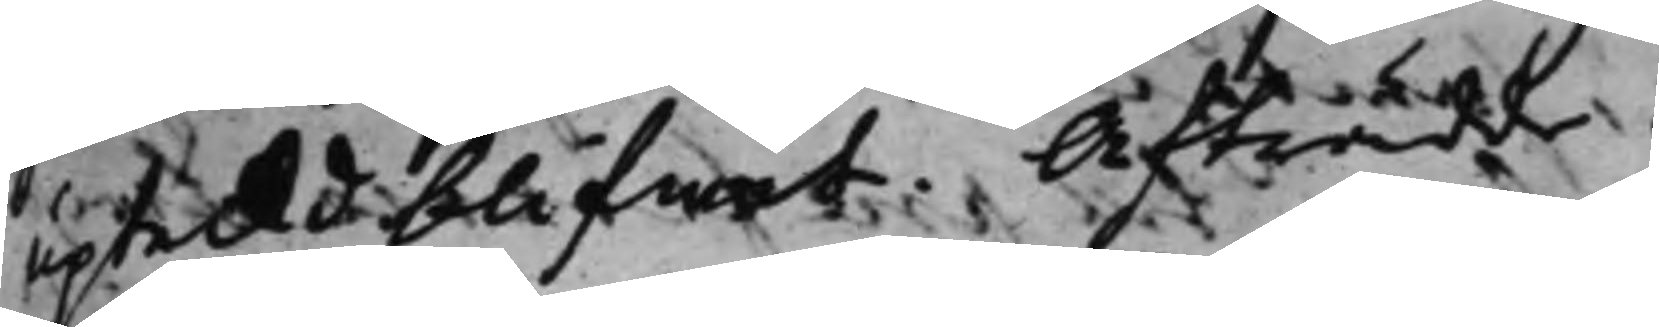upt,eckt blifwit. Afträdde.
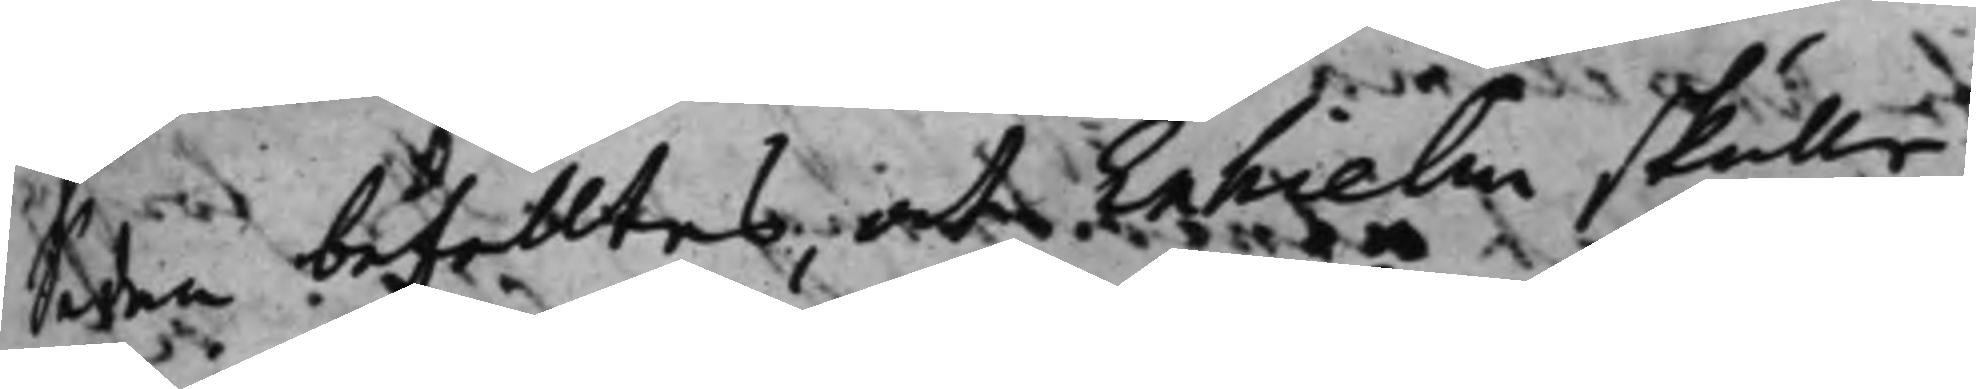Sedan befalltes, at Enhielm skulle
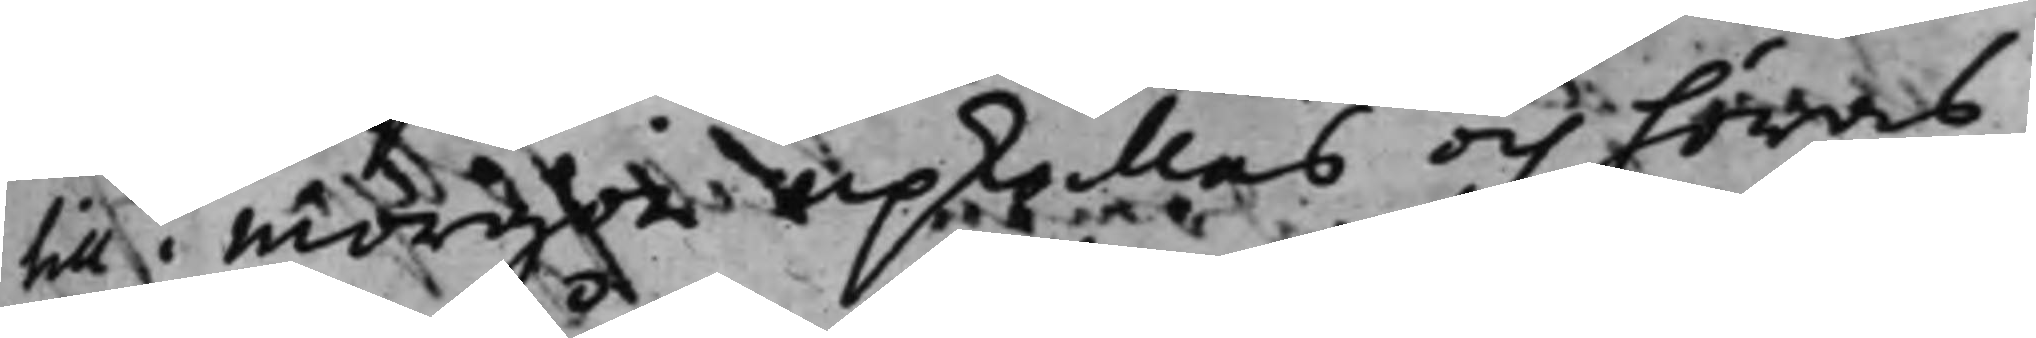till i morgon upkallas och höras
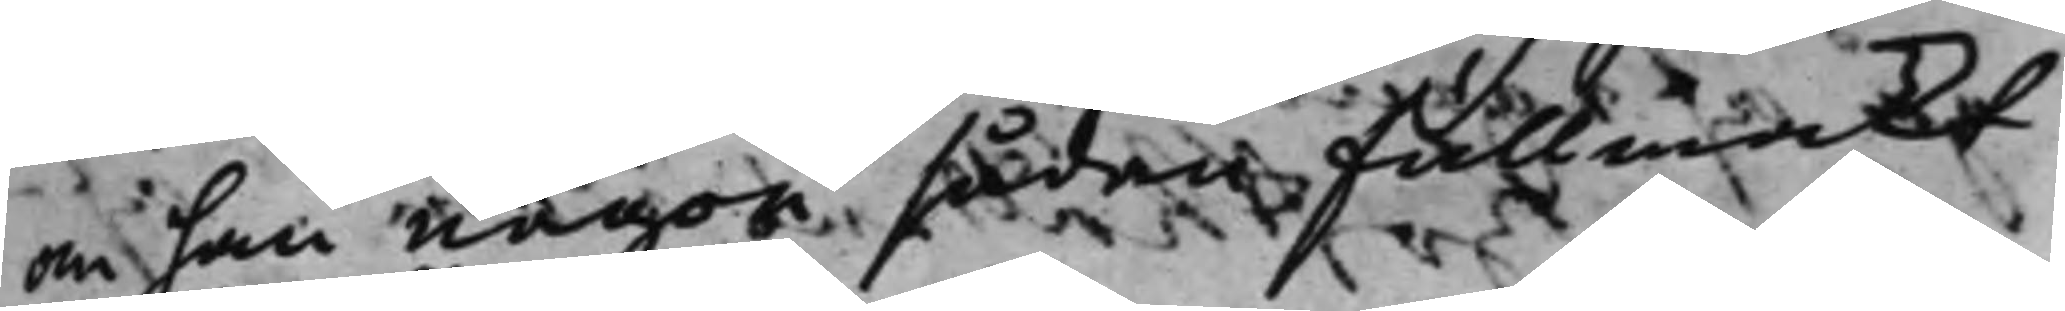om han någon sådan fullmakt
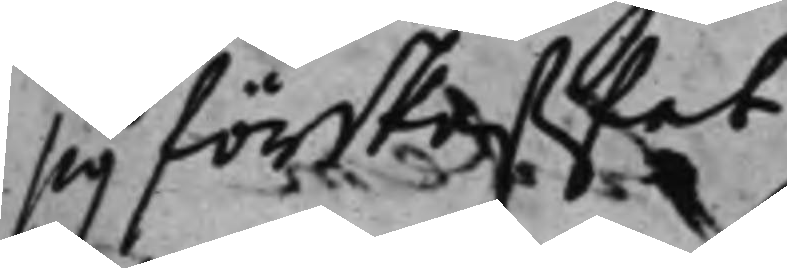sig förskaffat.
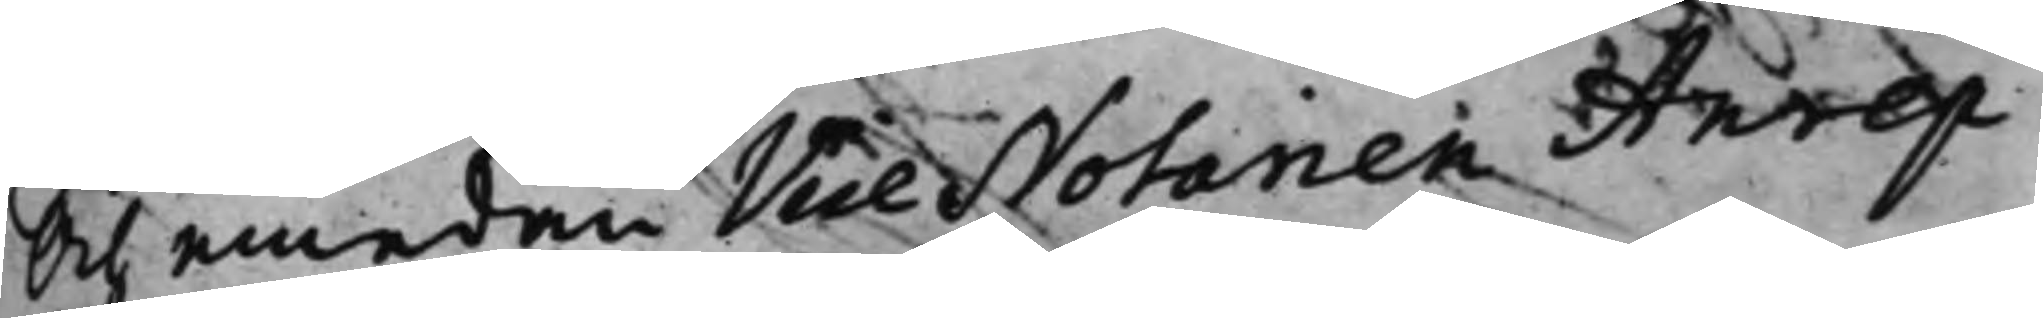Och emedan Vice Notarien Anrep
